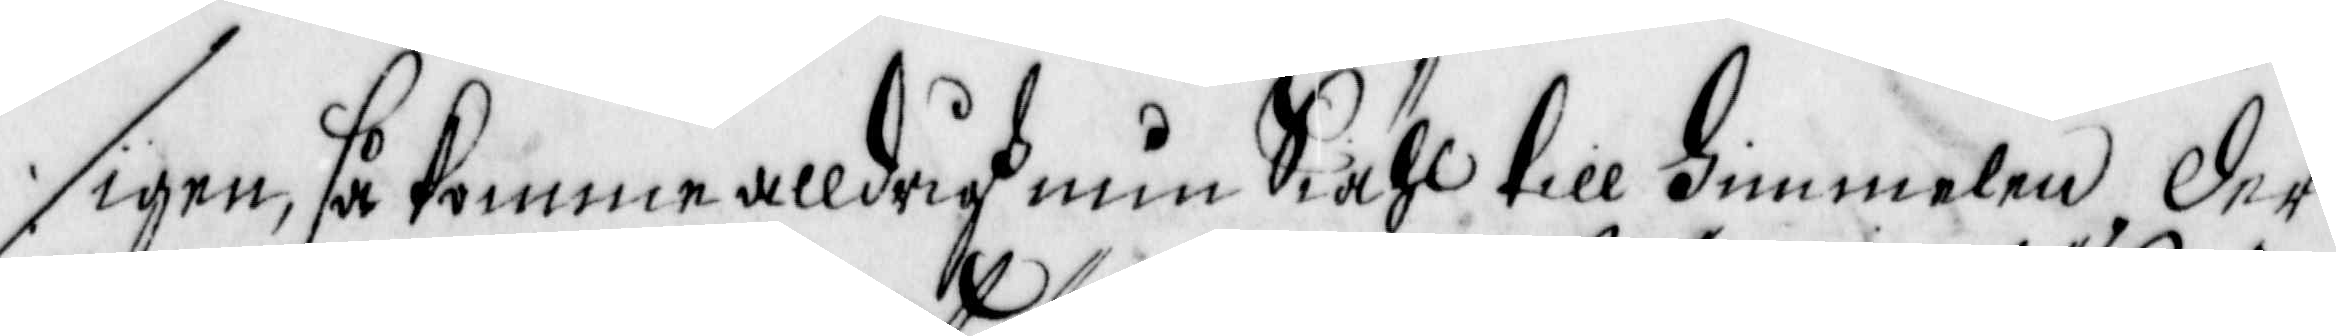igen så komme alldrigh min Siähl till himmelen, der
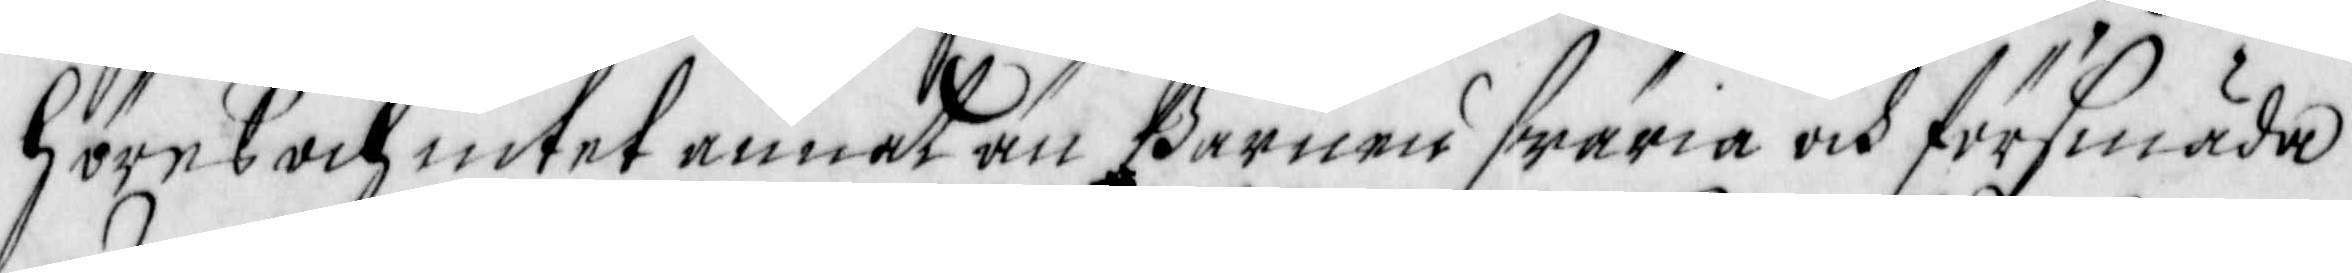Höres och intet annat än barnen swäria och försmäda
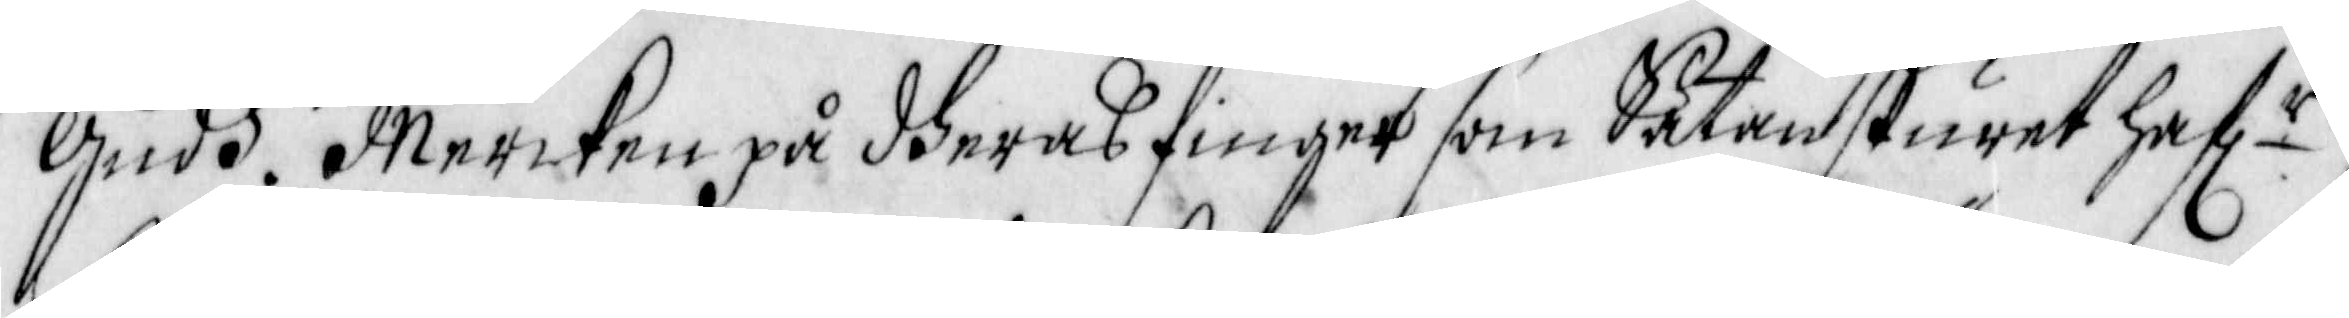Gudh. Mercken på dheras finger som Saten skuret haf r
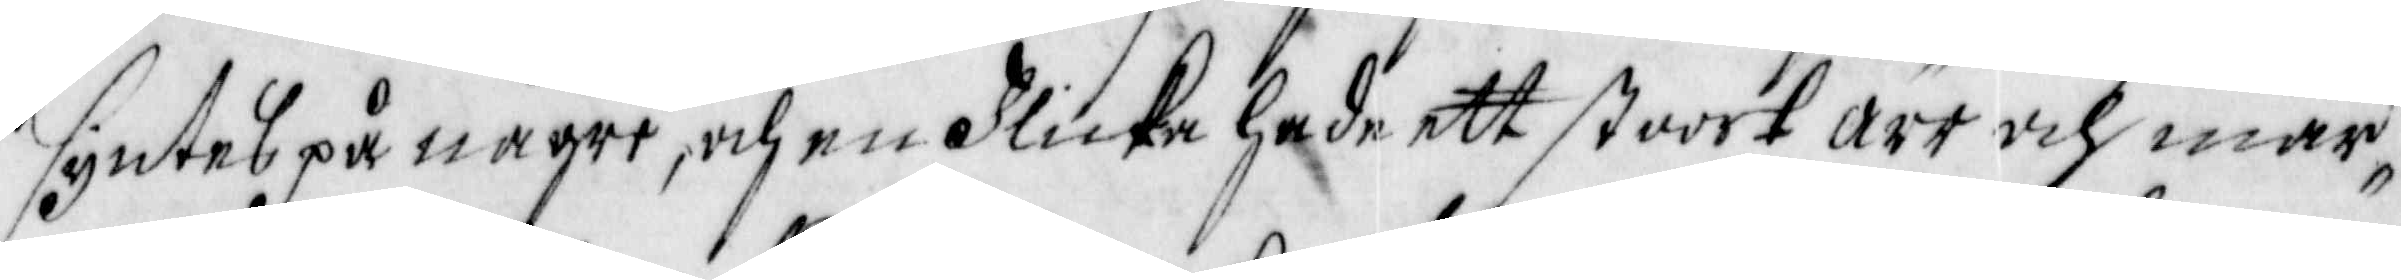syntes på någre, och en Flicka hade att stoort ärr och mär¬
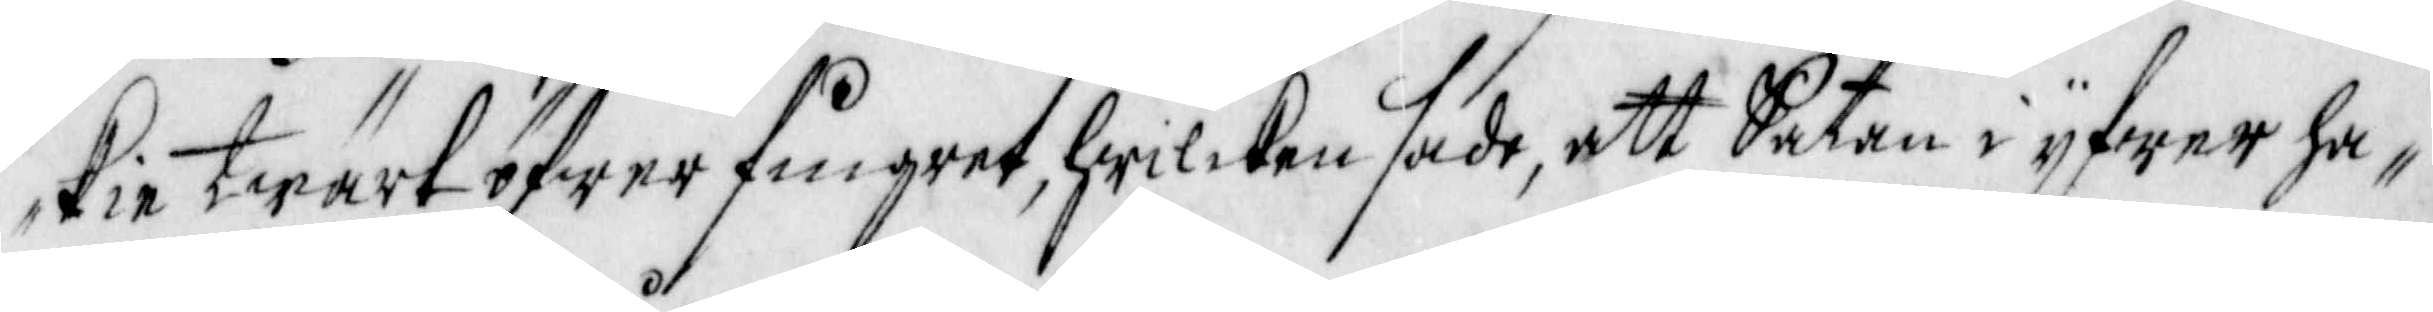kie twärt öfwer fingret, hwilcken sade, att Satan i yfwer ha¬
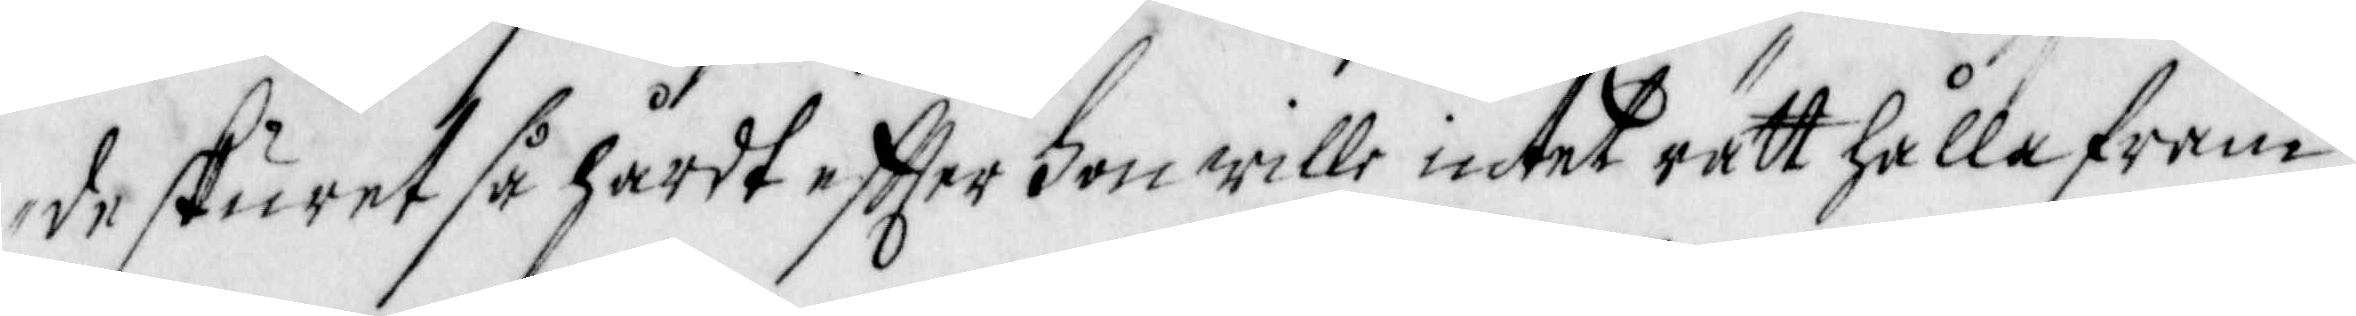de skuret så hårdt effter hon wille intet rätt hålla fram
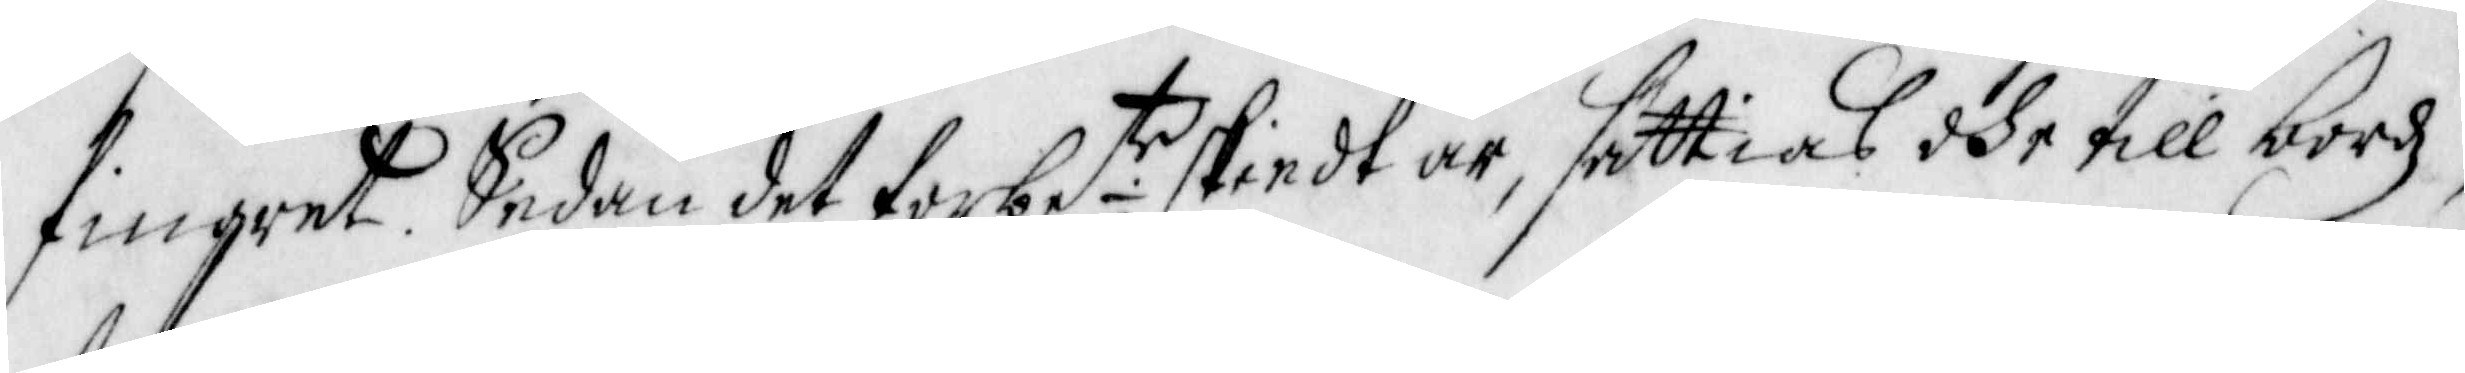fingret. Sedan det förbe te skiedt är, sättias dhe till bordz
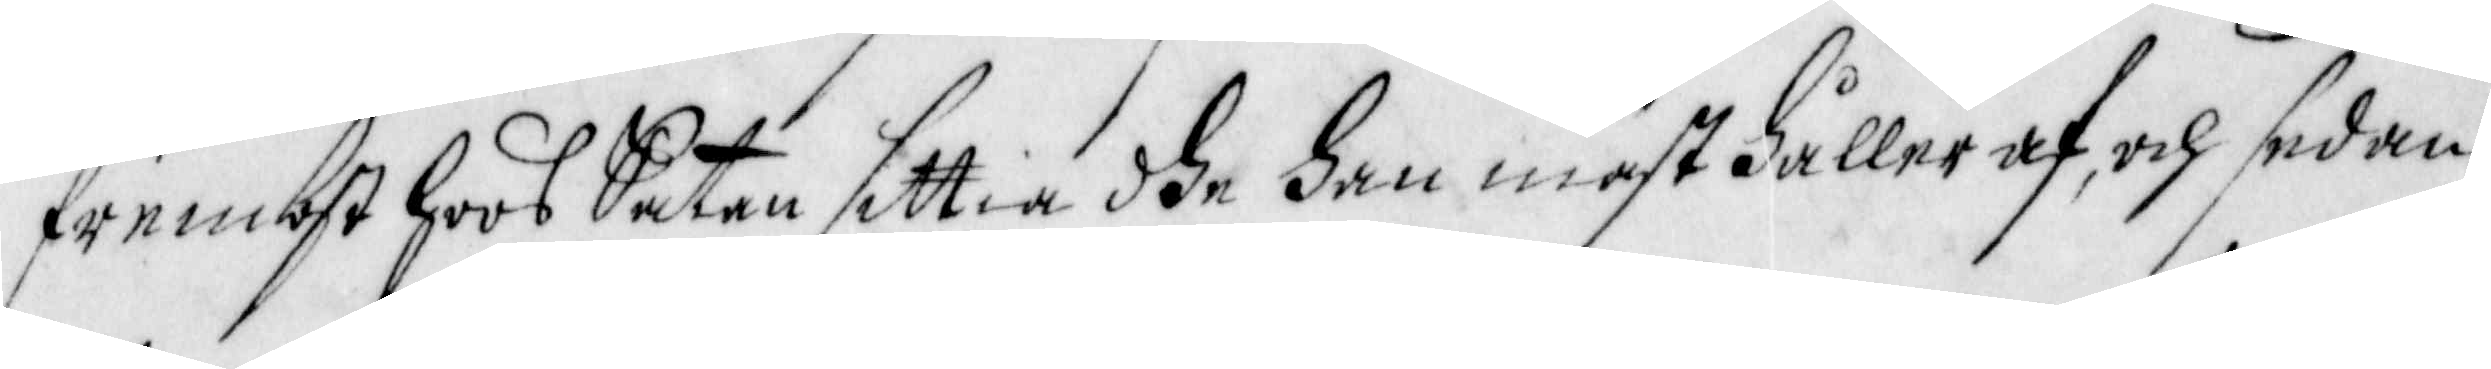frembst hoos Satan sittia dhe Han mäst håller af, och sedan
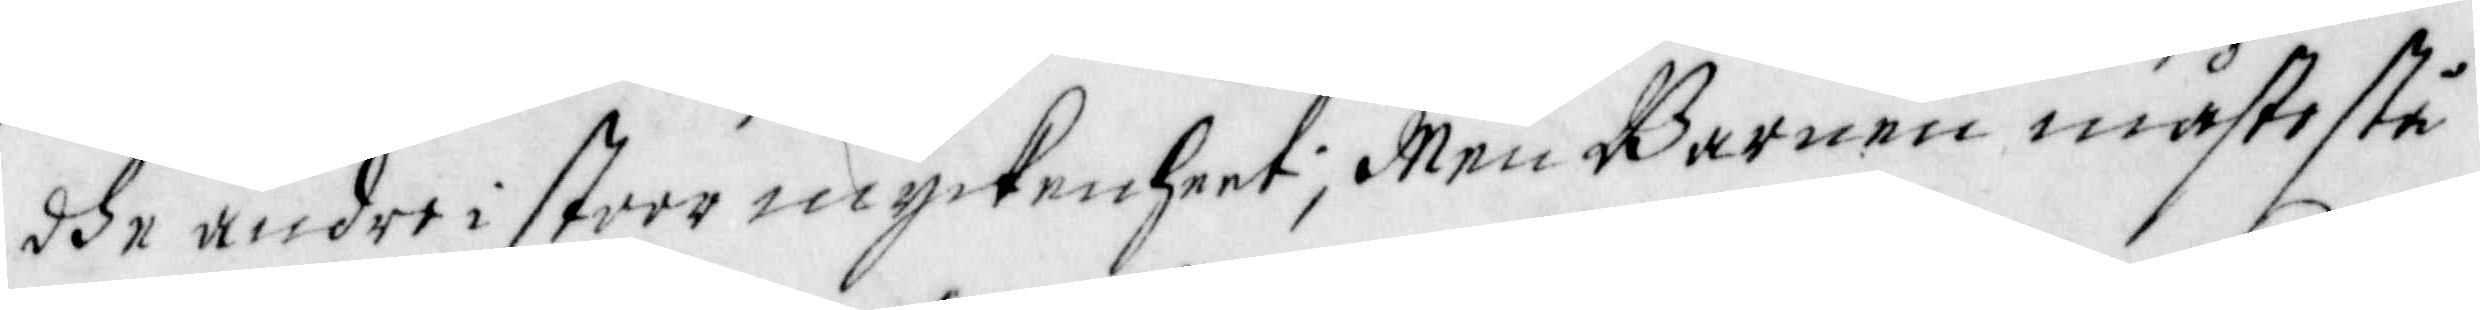dhe andre i stoor myckenheet; Men Barnen måste stå
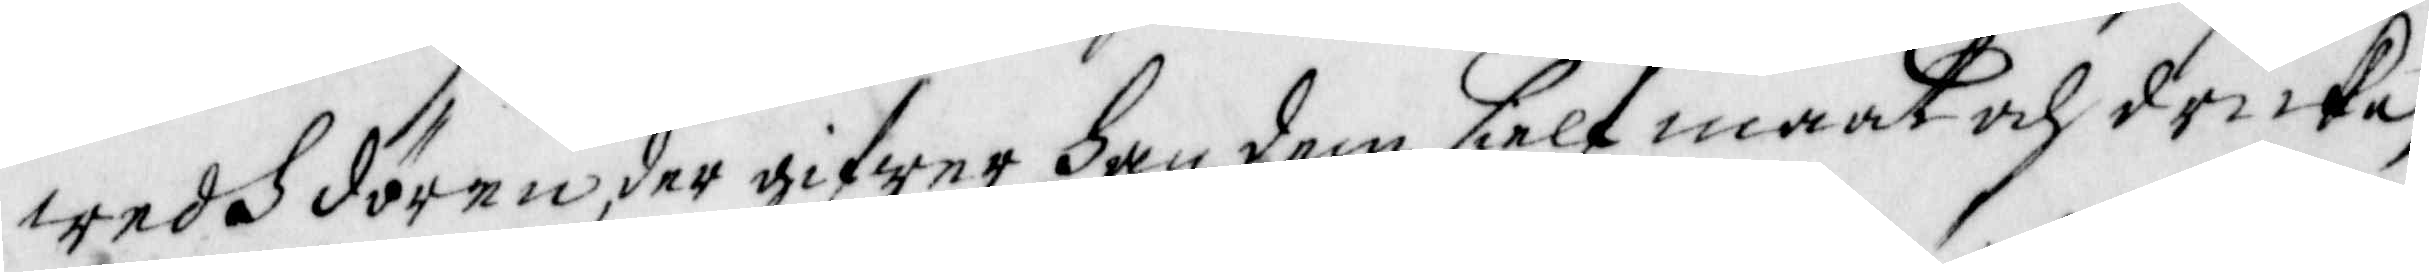wedh dören, der gifwer han dem sielf maat och dricka,
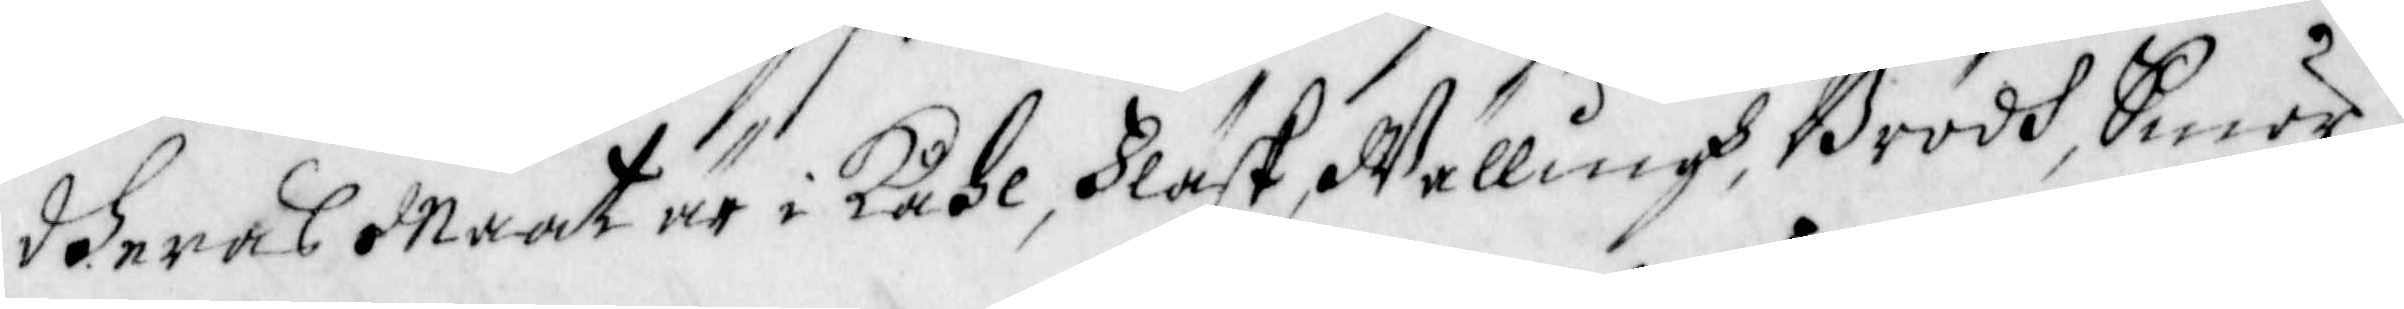dheras Maat är i Kåhl, Fläsk, Wällingh, Brodh, Smör
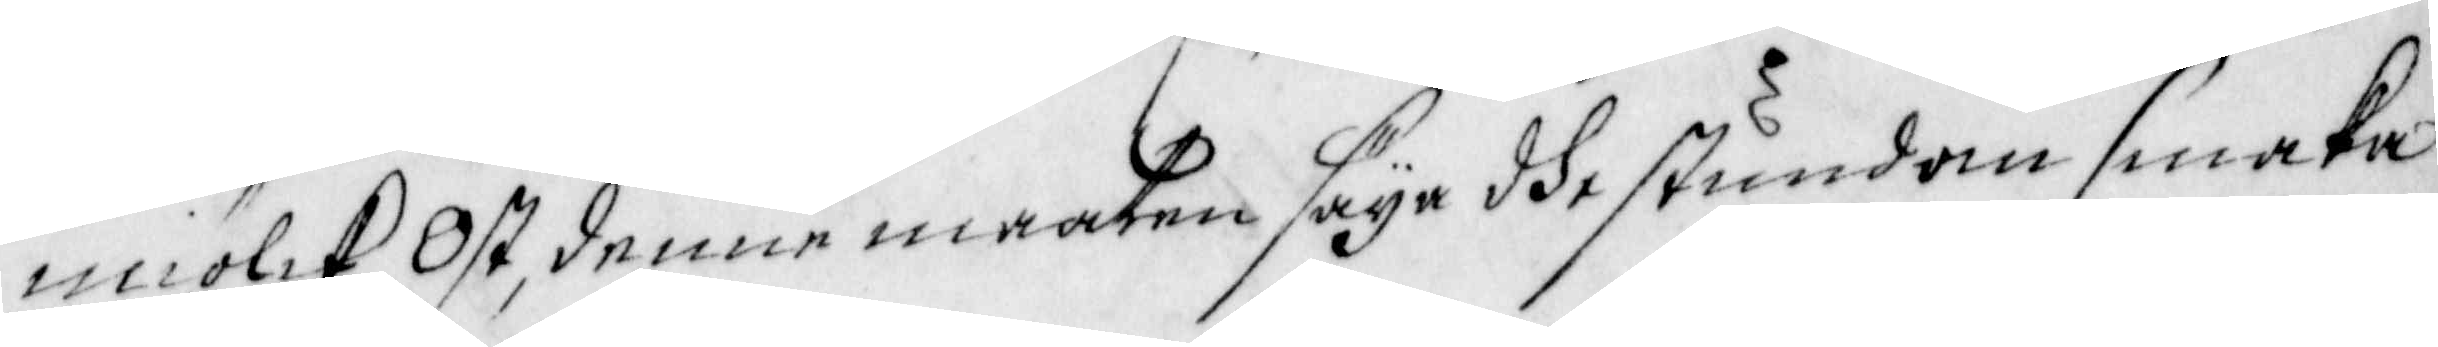miölck, Ost, denna maaten säya dhe stundom smaka 
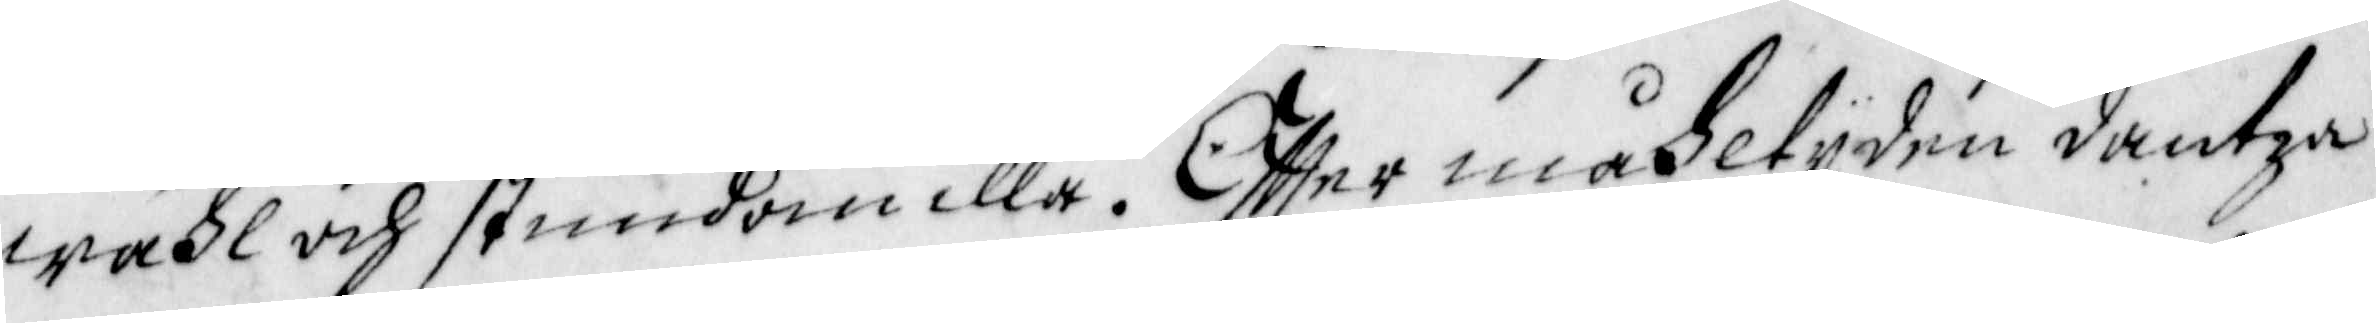wähl och stundom illa. Effter måhltyden dantza
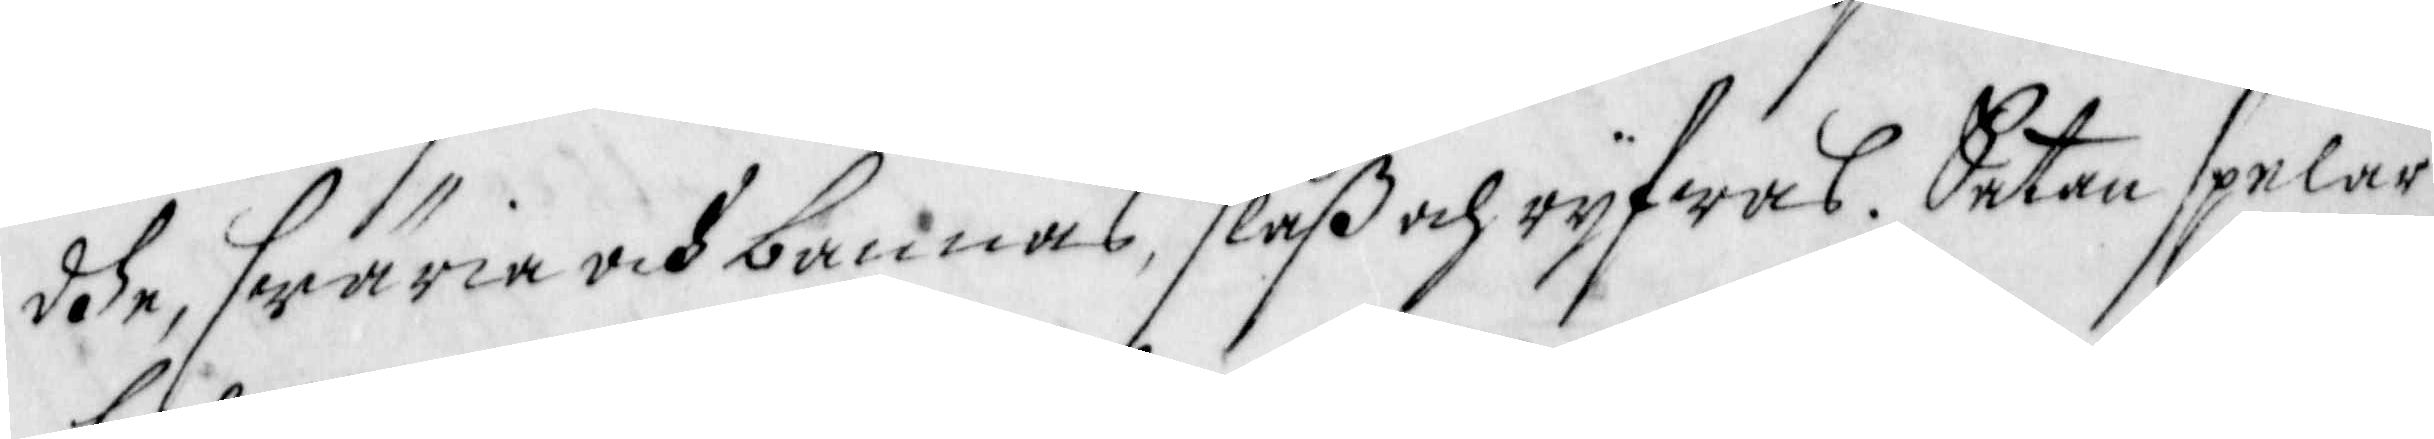dhe, swäria och bannas, slåß och ryfwas, Satan spelar
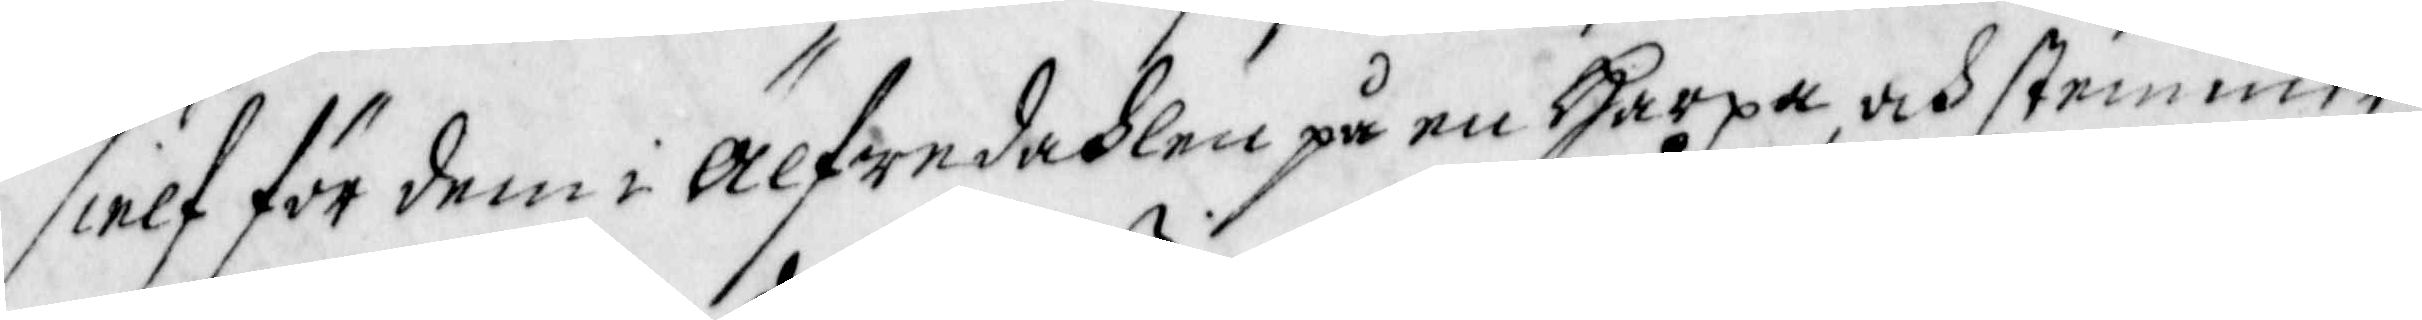sielf för dem i älfwendahlen på en Harpa, och stemmer
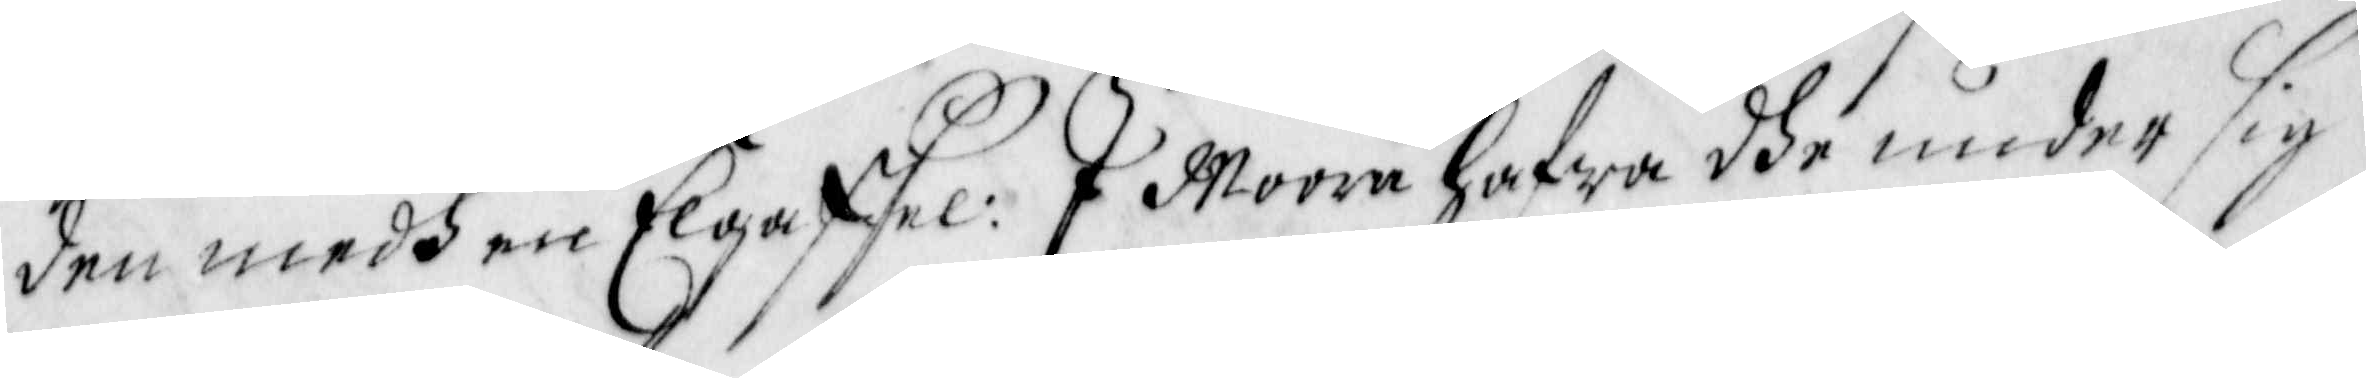den medh en Elgaffel. I Moora hafwa dhe under sig
